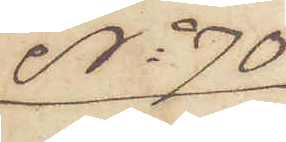No 70
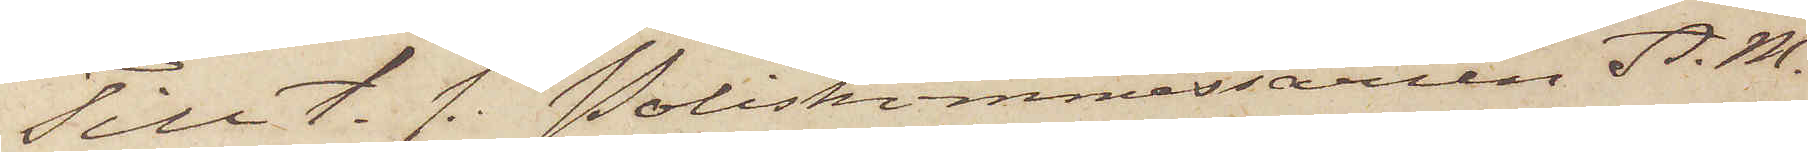Till t. f. Poliskimmessarlen A. M.
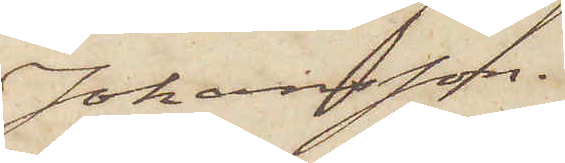Johansson.
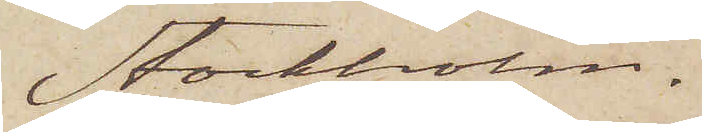Stockholm.
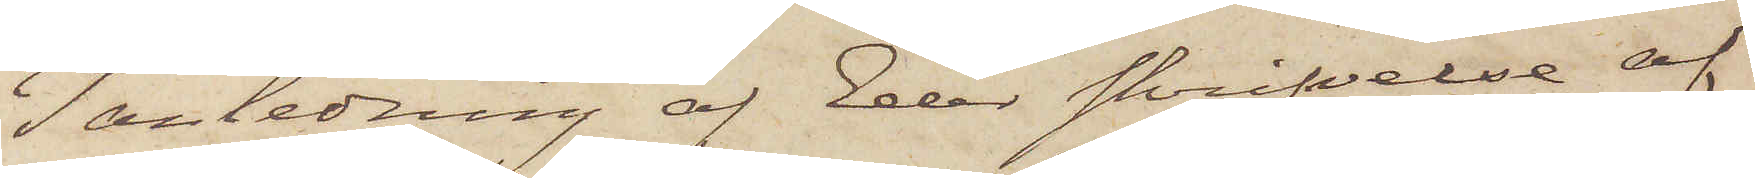I anledning af Eder skrifvelse af
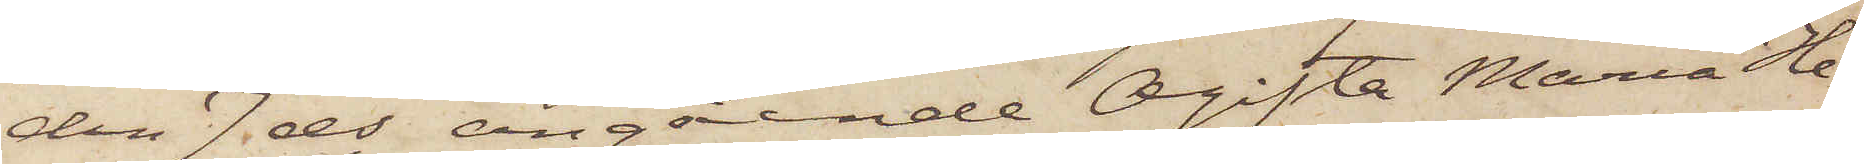den 7 ds angående Ogifta Maria He¬
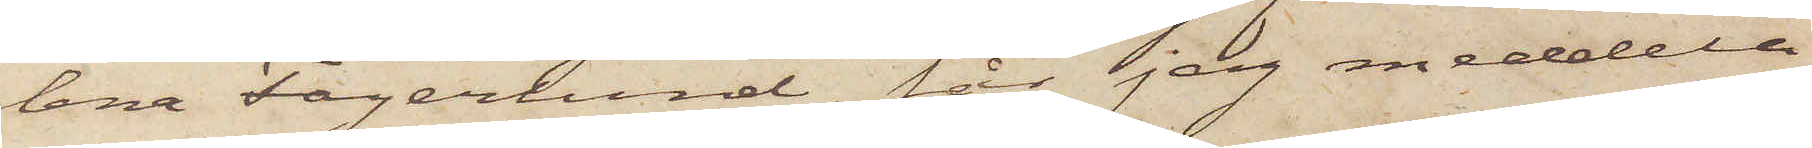lena Fagerlund, får jag meddela
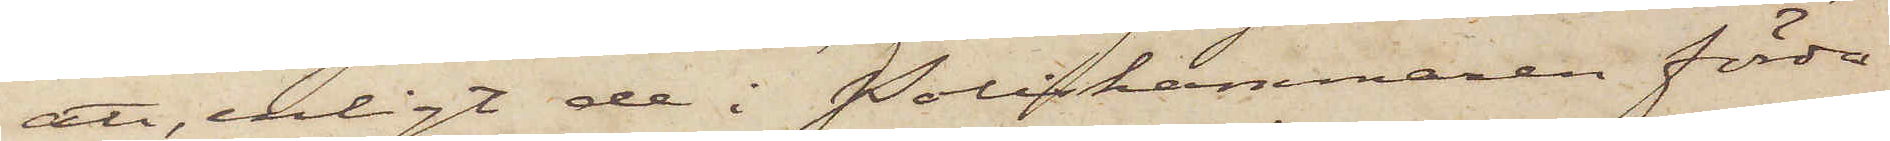att, enligt de i Poliskammaren förda
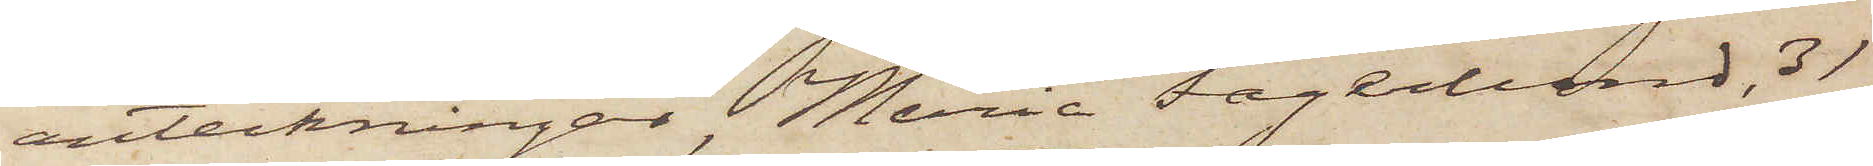anteckningar Maria Fagerlund, 31
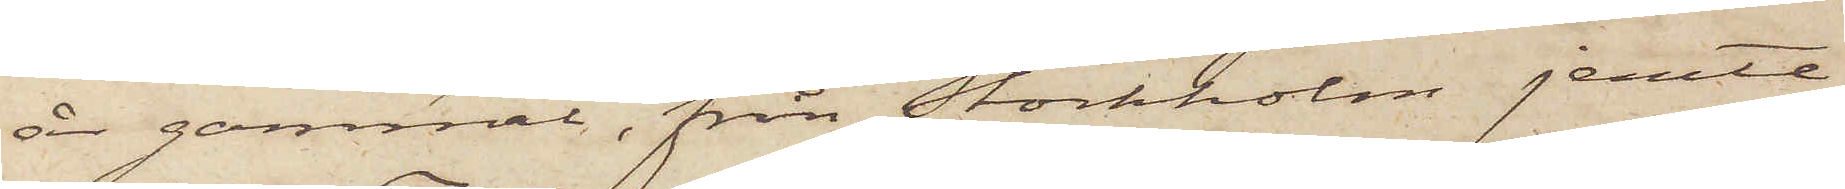år gammal, från Stockholm jemte
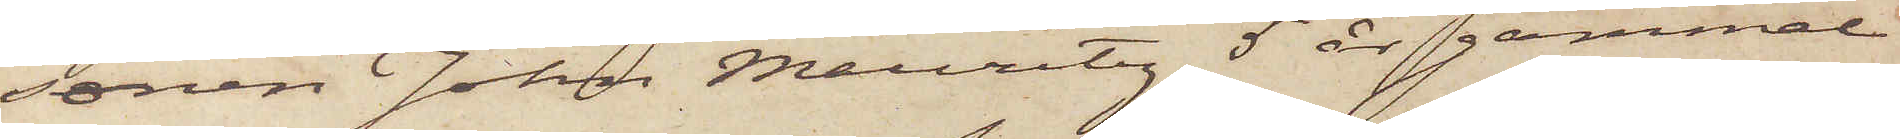sonen Johan Mauritz 5 år gammal
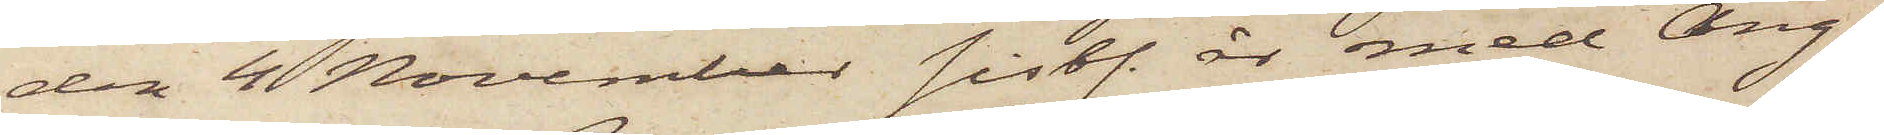den 4 November sistl. år med Ång¬
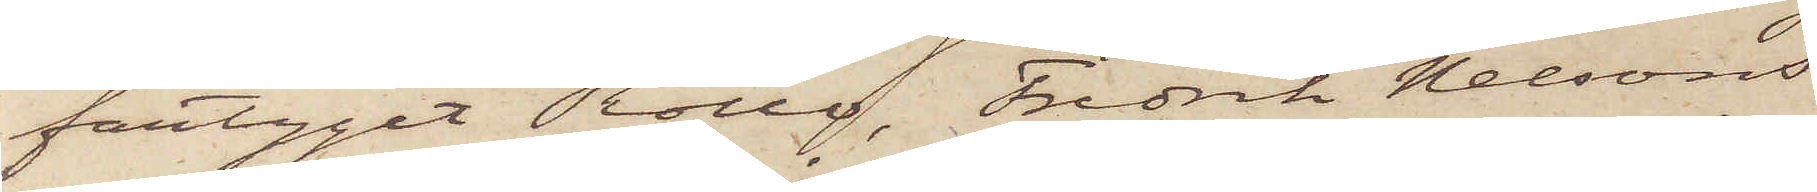fartyget Rollo, Fredrik Nelsons
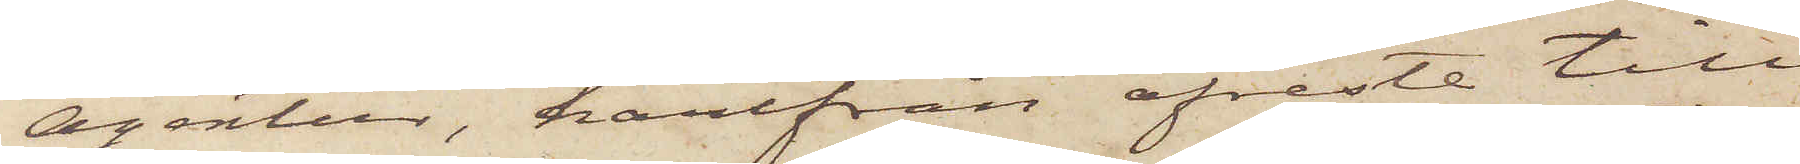agentur, härifrån afreste till
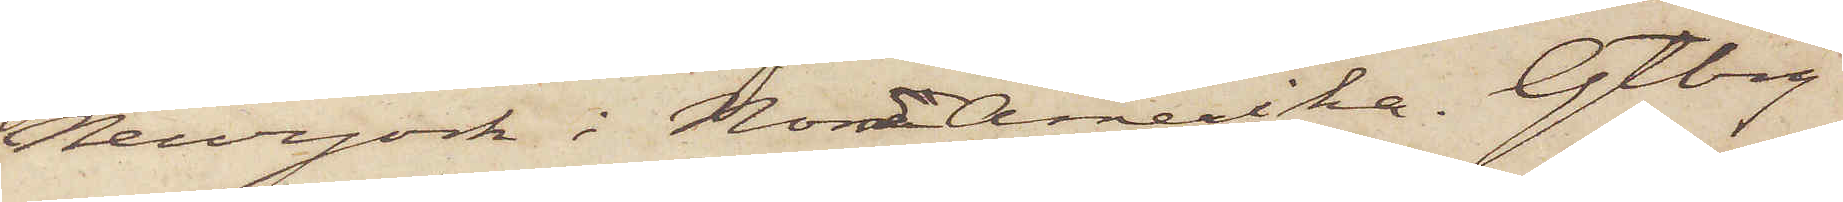Newyork i NordAmerika. Gtbg
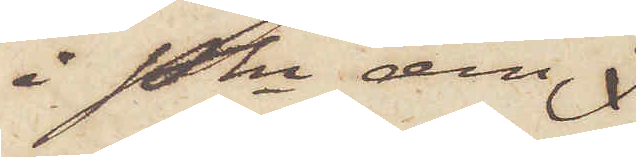i Pkn den
